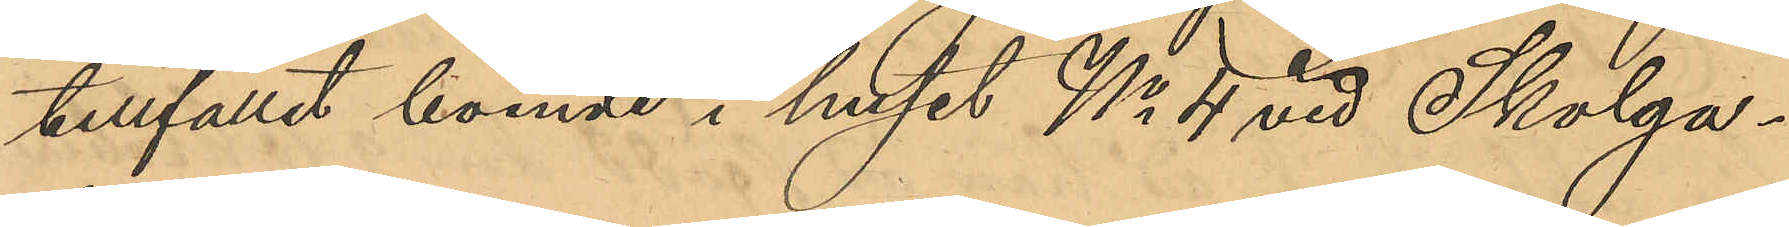tillfället boende i huset No 4 vid Skolga¬
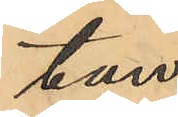tan.
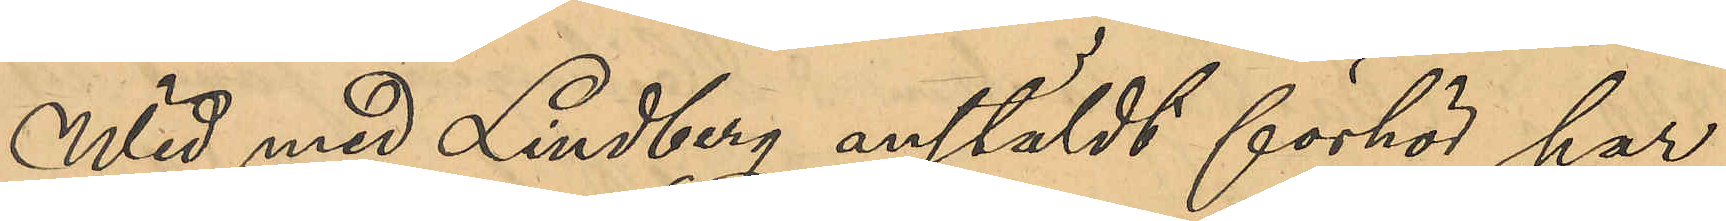Wid med Lindberg anstäldt förhör har
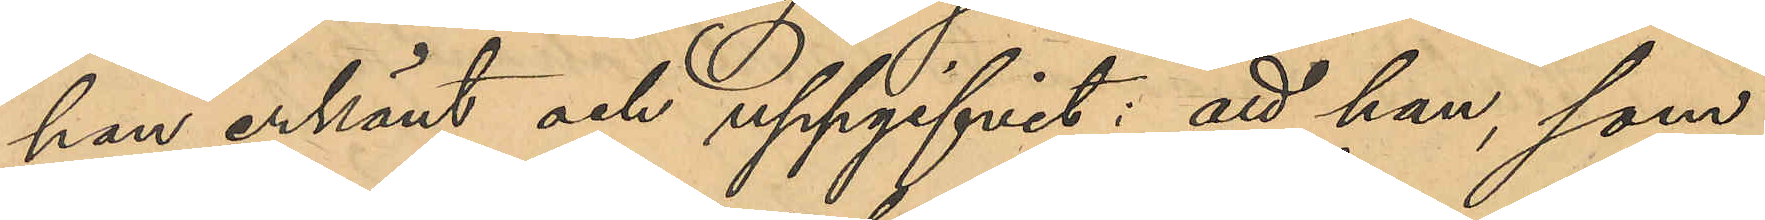han erkänt och uppgifvit: att han, som
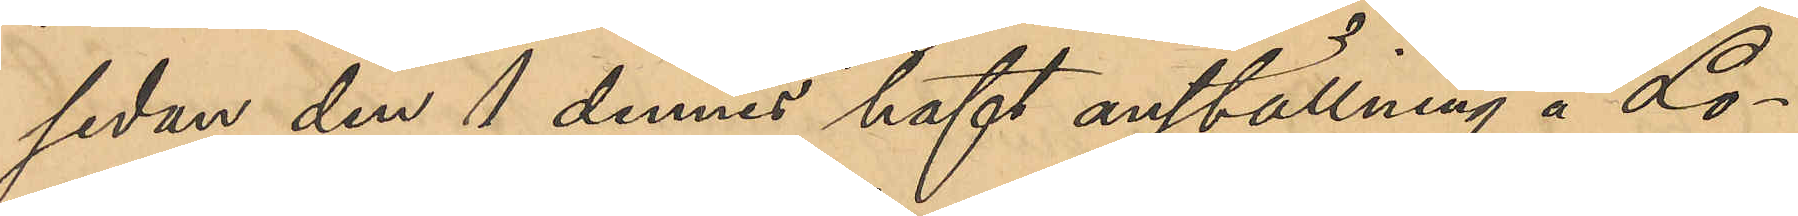sedan den 1 dennes haft anställning å Lo¬
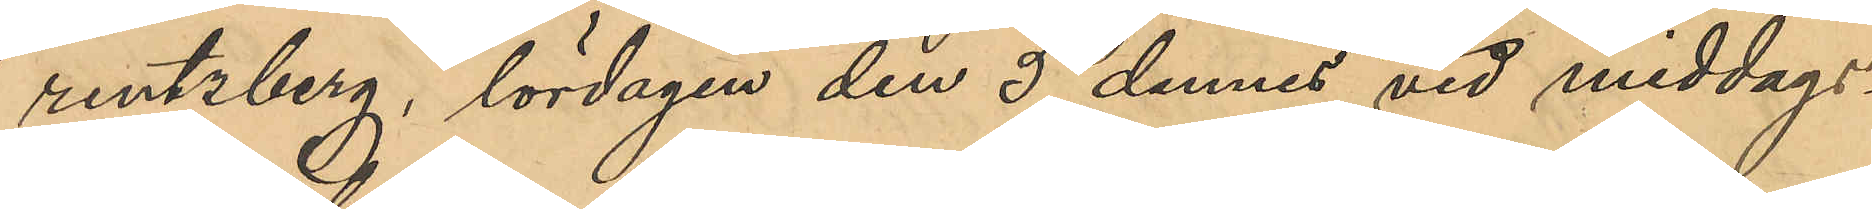rentzberg, lördagen den 5 dennes vid middags¬
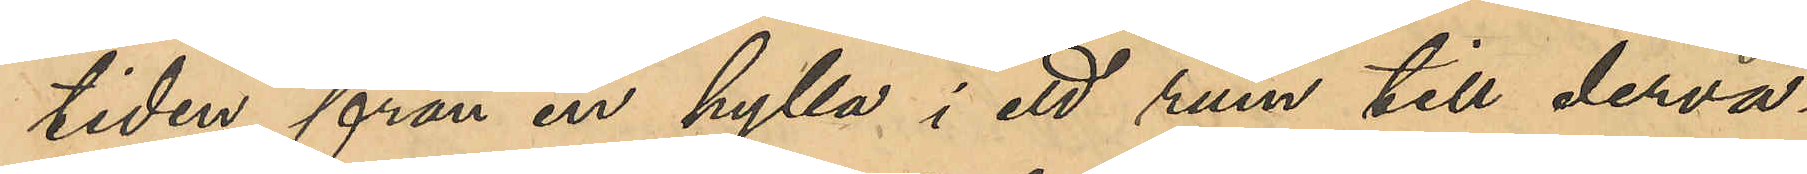tiden från en hylla i ett rum till derva¬
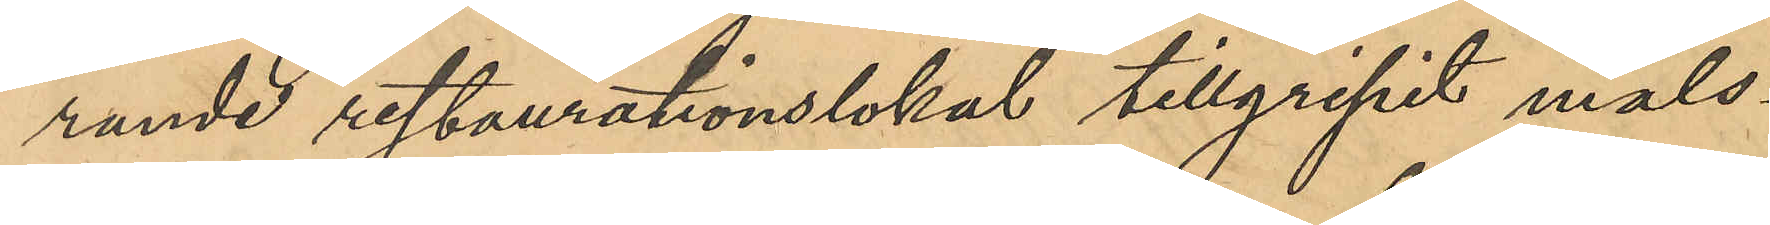rande restaurationslokal tillgripit måls¬
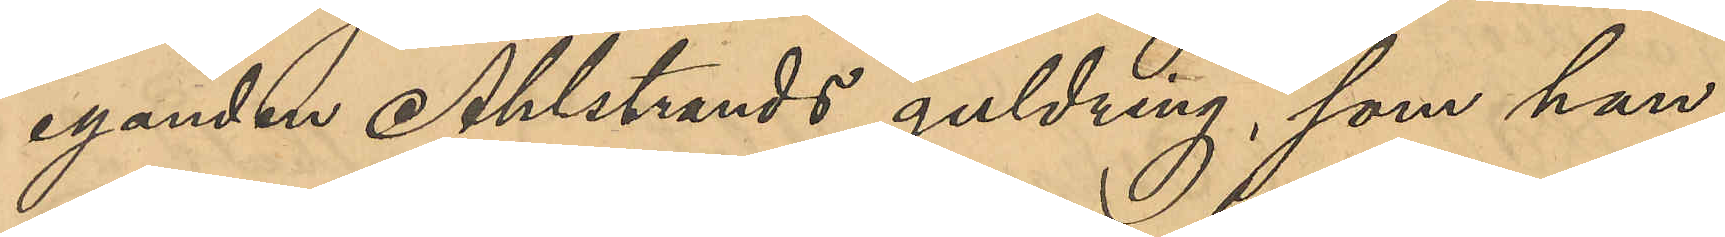eganden Ahlstedts guldring, som han
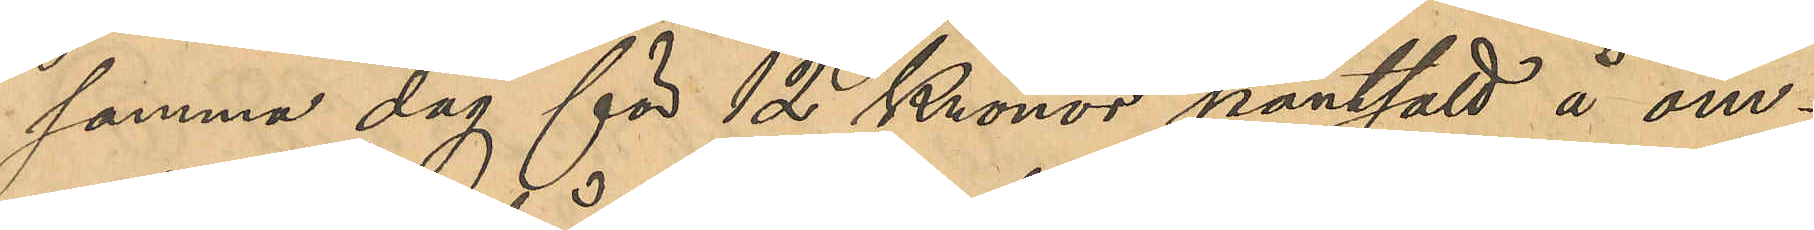samma dag för 12 Kronor pantsatt å om¬
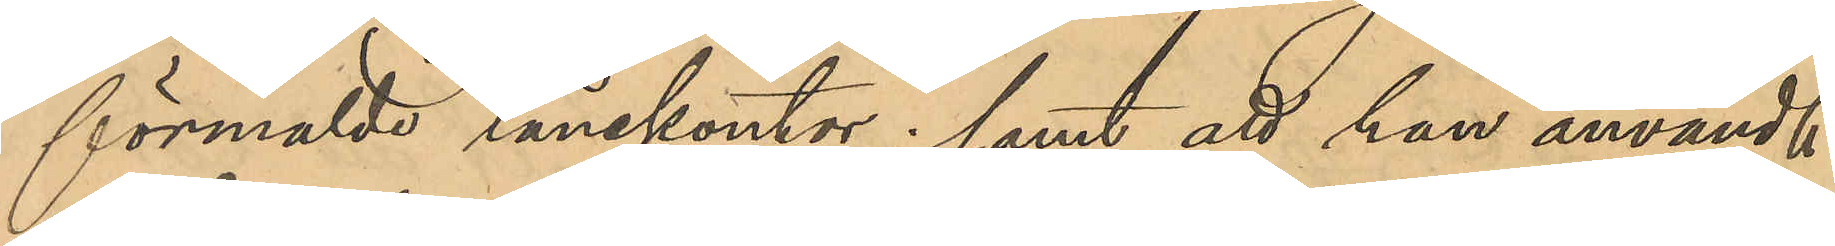förmälda lånekontor; samt att han användt
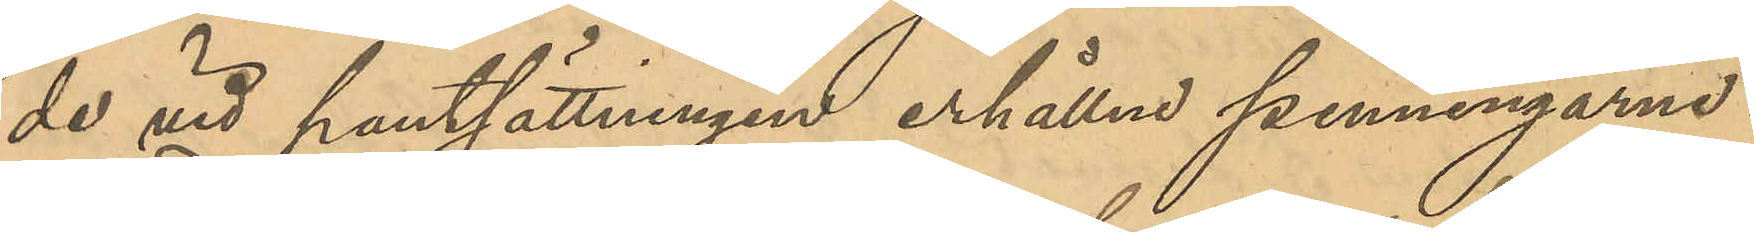de vid pantsättningen erhållne penningarne.
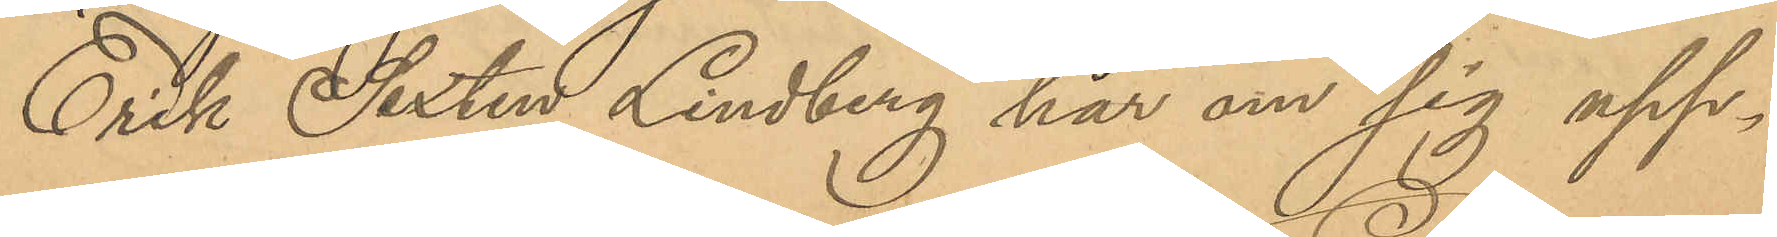Erik Sixten Lindberg har om sig upp¬
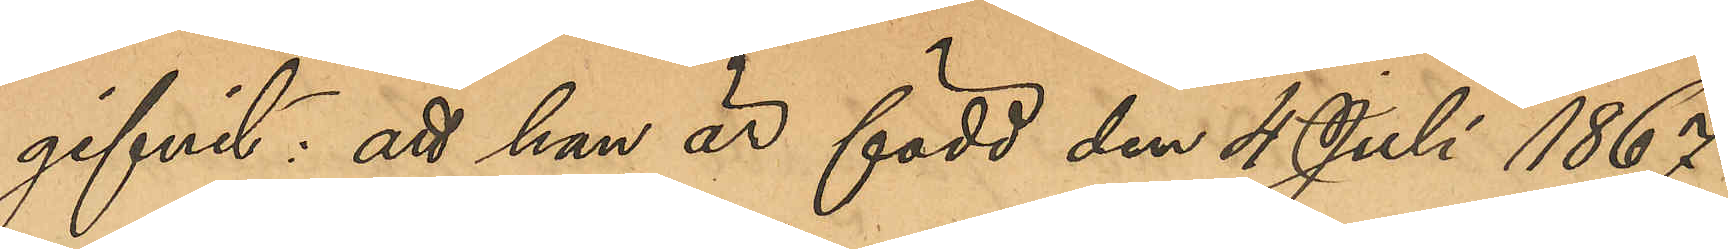gifvit: att han är född den 4 Juli 1867
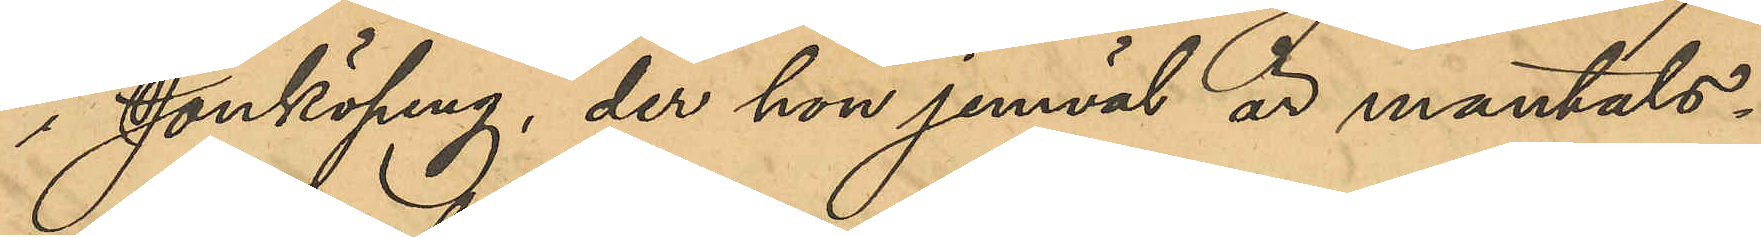i Jönköping, der han jemväl är mantals-
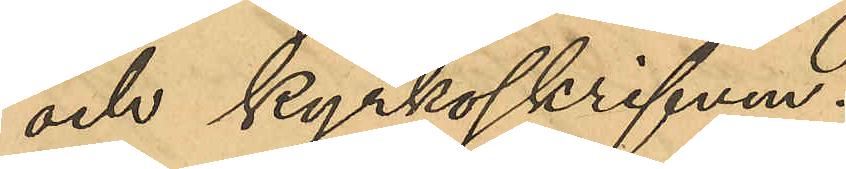och kyrkoskriven.
